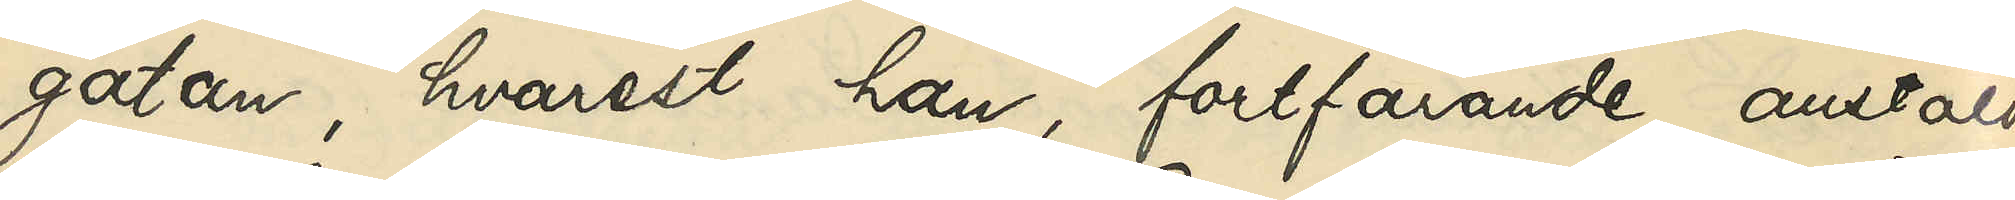gatan, hvarest han, fortfarande anstäld
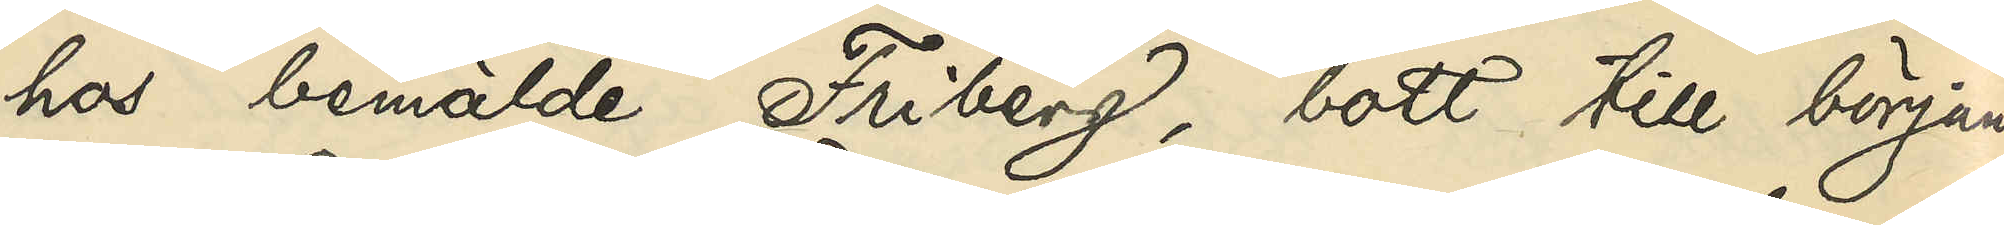hos bemälda Friberg, bott till en början
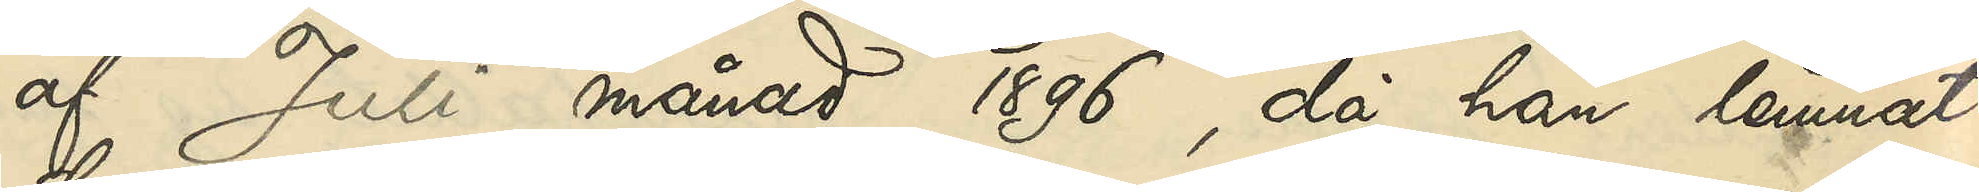af Juli månad 1896, då han lemnat
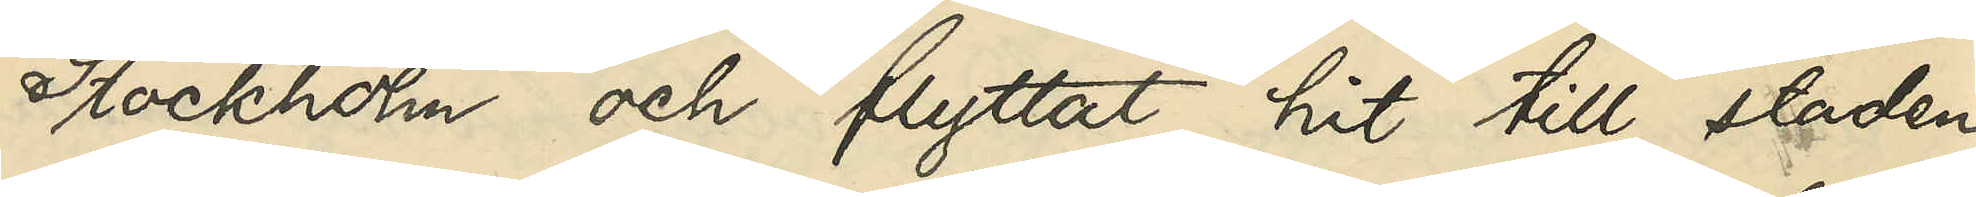Stockholm och flyttat hit till staden
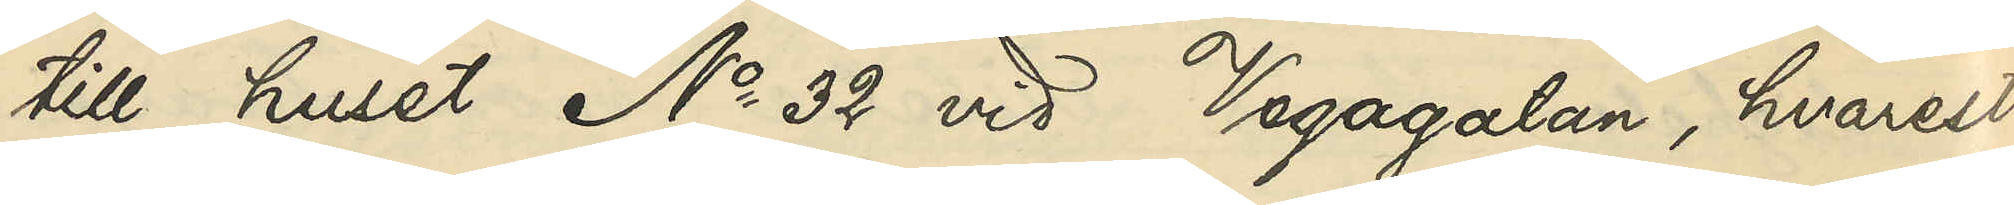till huset No 32 vid Vegagatan, hvarest
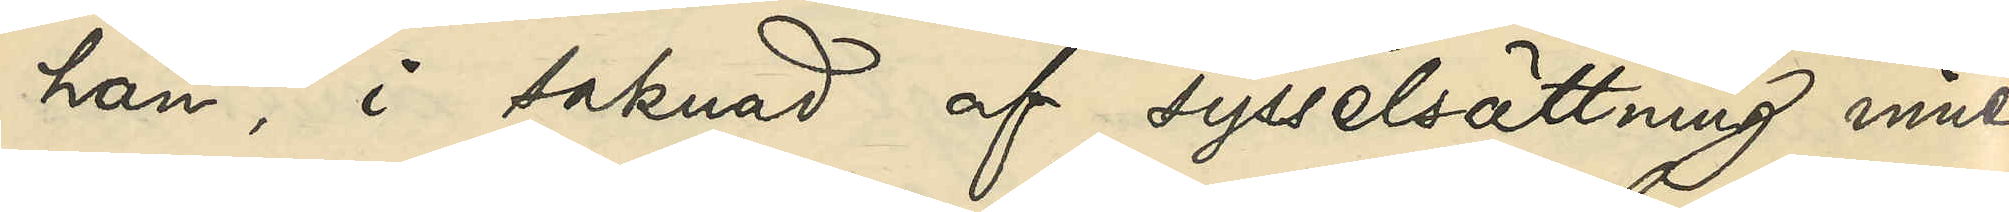han, i saknad af sysselsättning inne¬
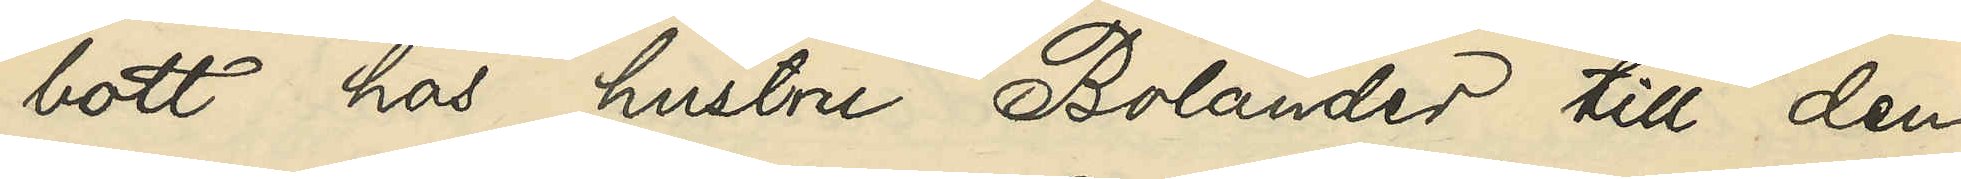bott hos hustru Bolander till den
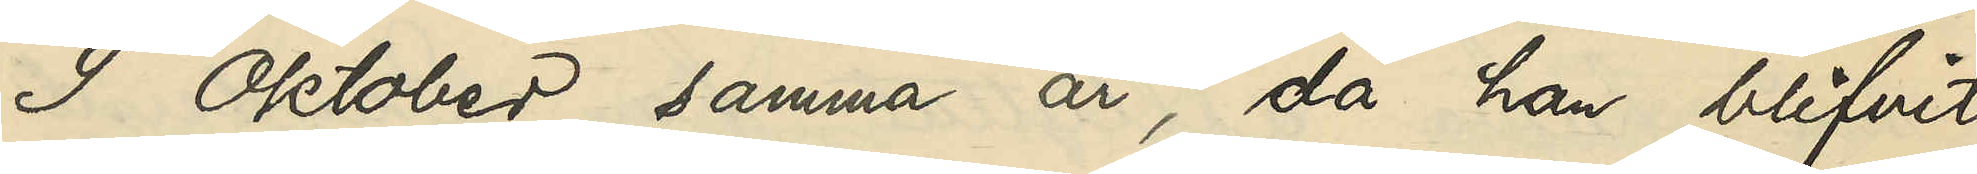9 Oktober samma år, då han blifvit
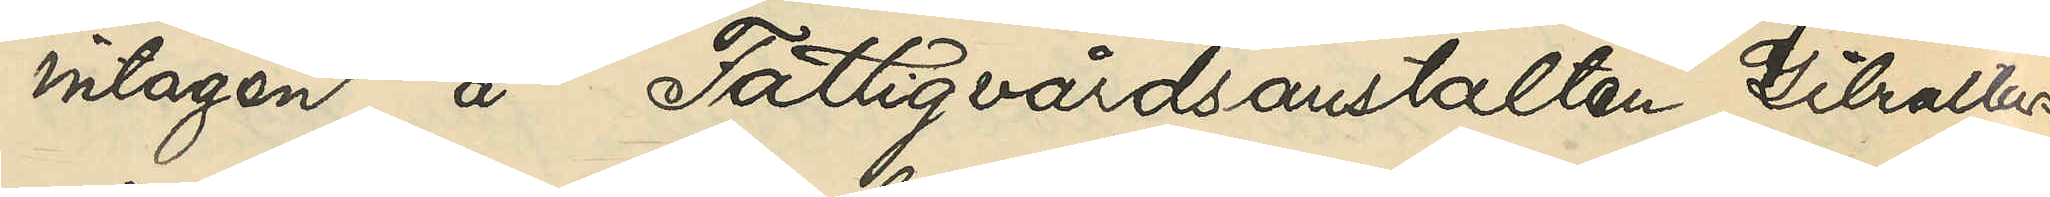intagen å Fattigvårdsanstaleten Gibraltars
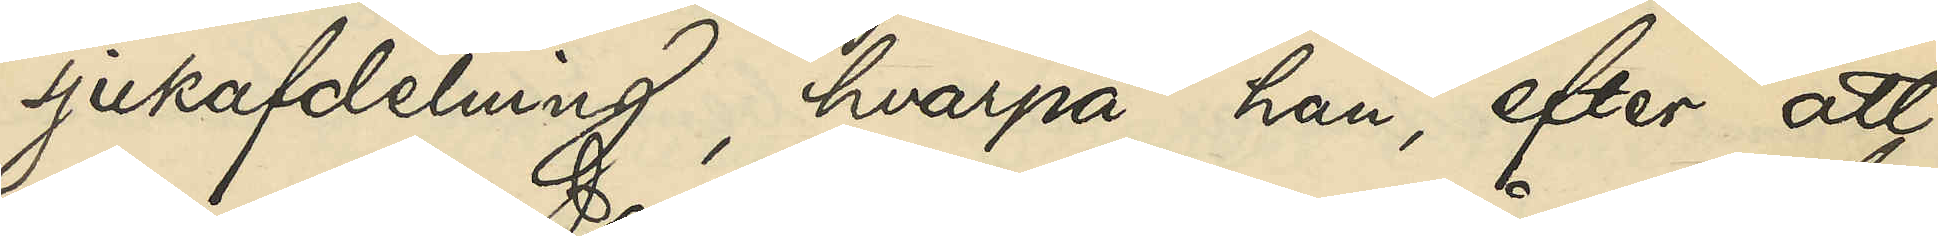sjukafdelning, hvarpå han, efter att
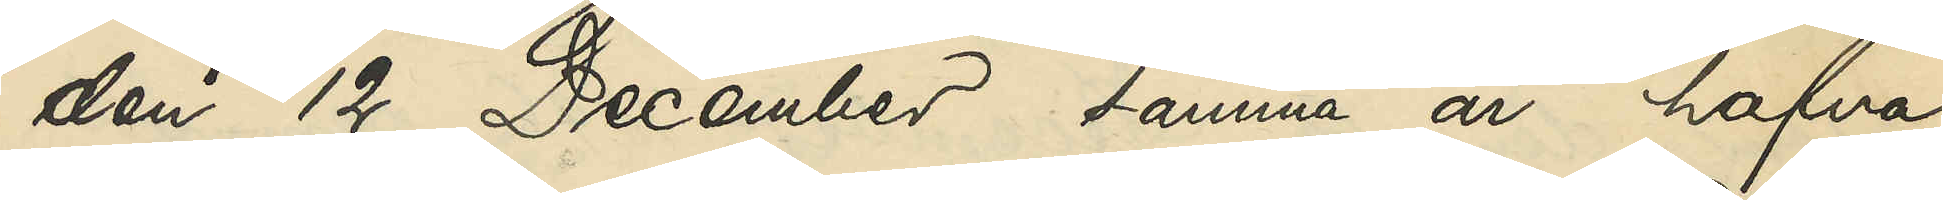den 12 December samma år hafva
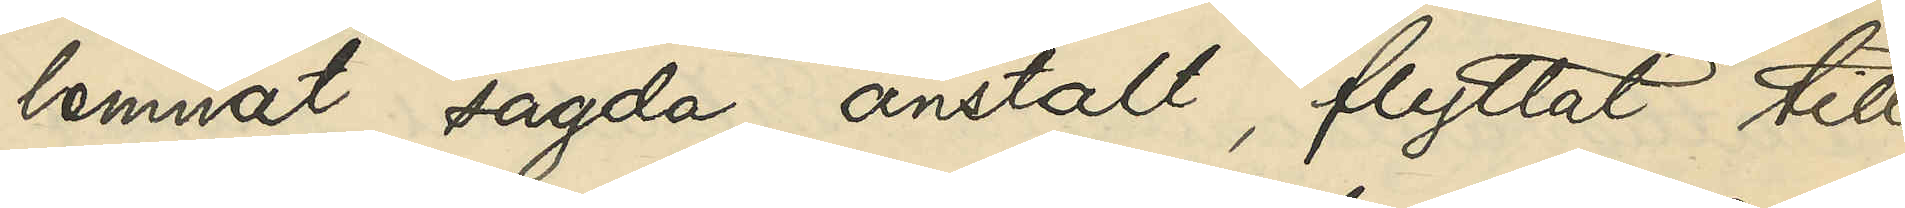lemnat sagda anstalt, flyttat till
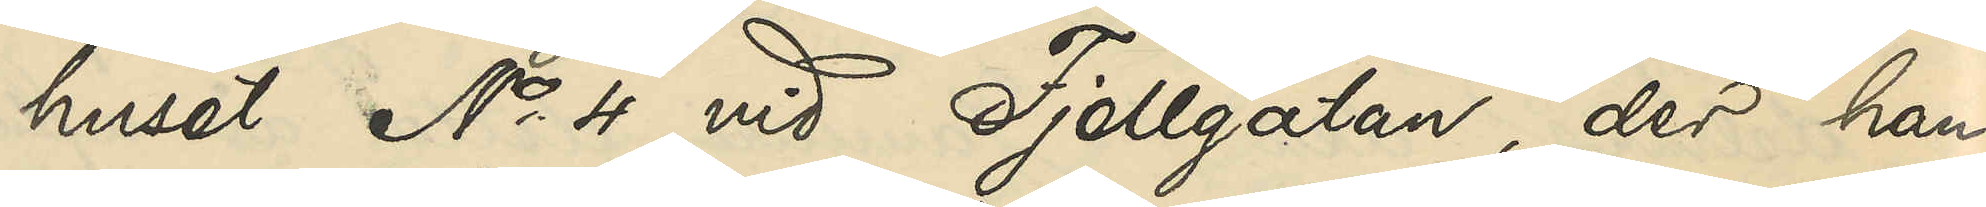huset No 4 vid Fjellgatan, der han
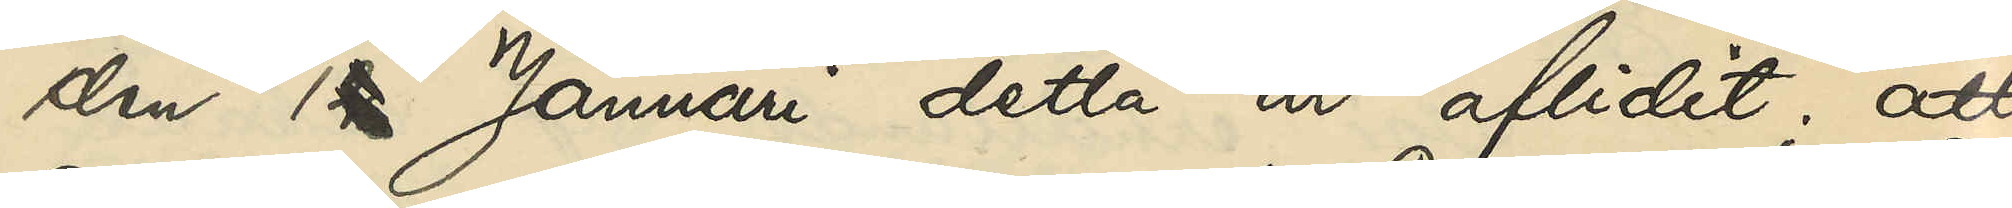den 1 Januari detta år aflidit; att
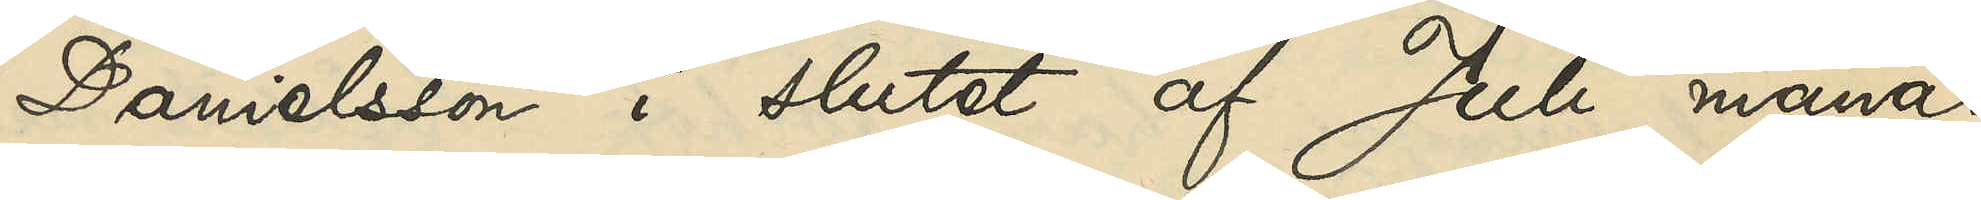Danielsson i slutet af Juli månad
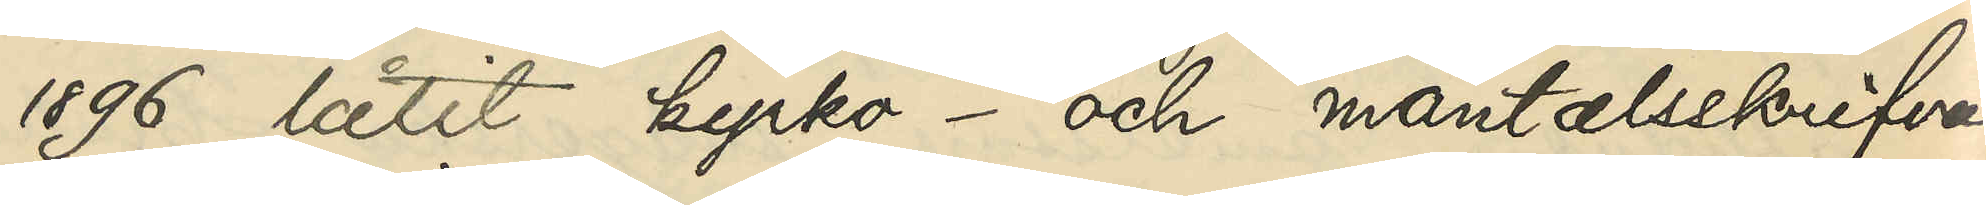1896 låtit kyrko- och mantalsskrifva
